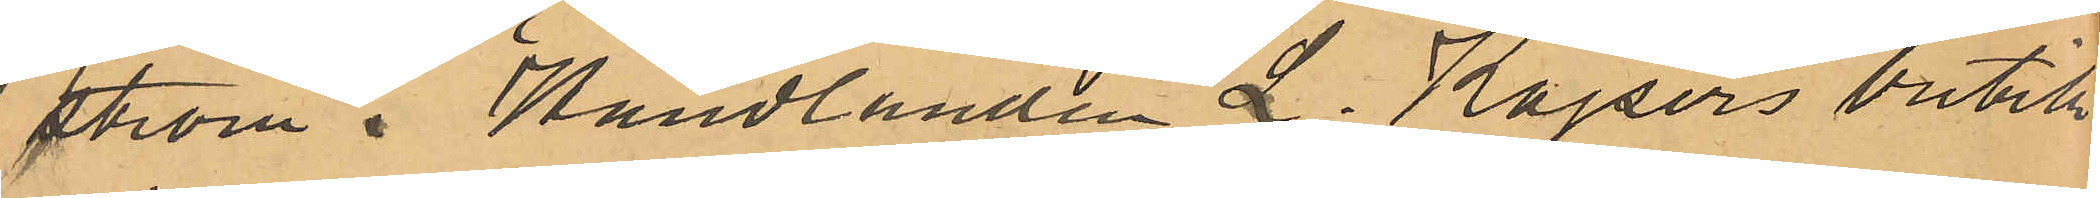ström i Handlanden L. Kajsers butik
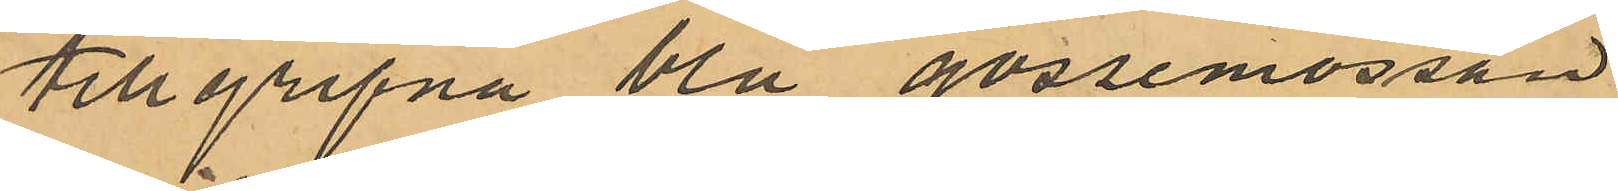tillgripna blå gossemössan.
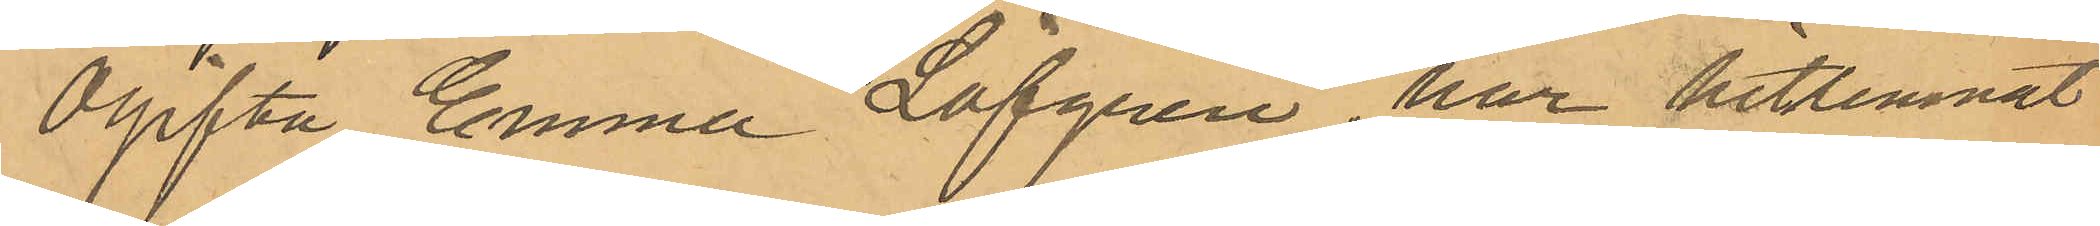Ogifta Emma Löfgren, har hitlemnat
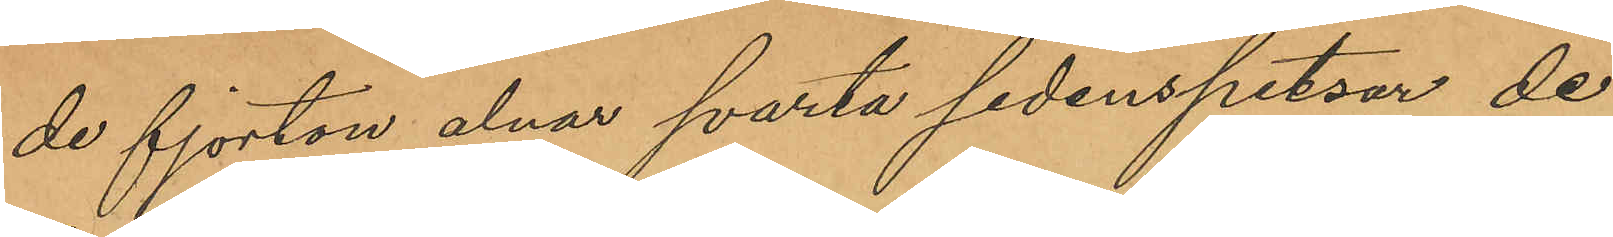de fjorton alnar svarta sidenspetsar de
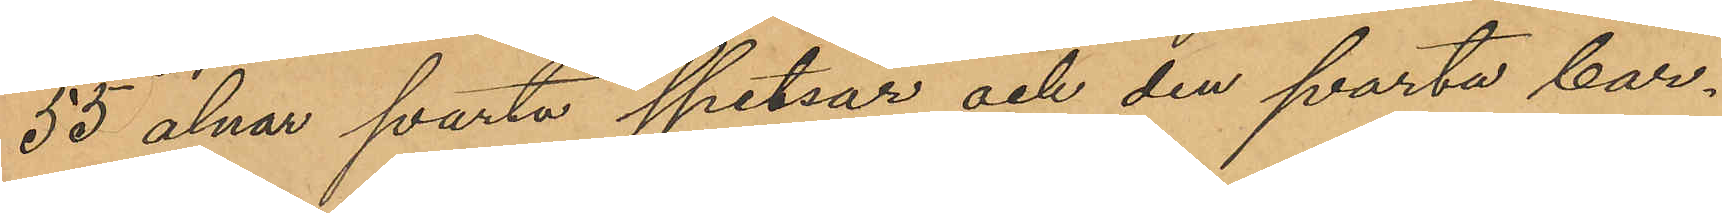55 alnar svarta spetsar och den svarta bar¬
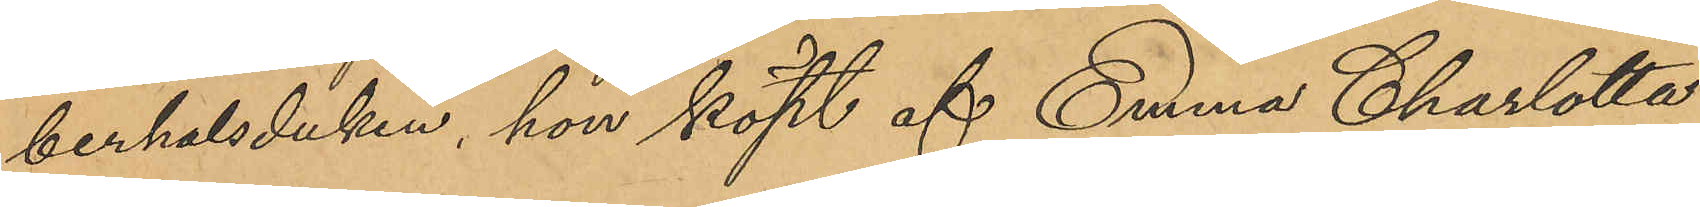berhalsduken, hon köpt af Emma Charlotta
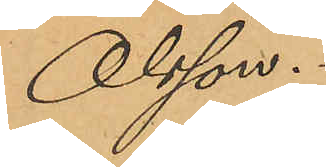Olsson.
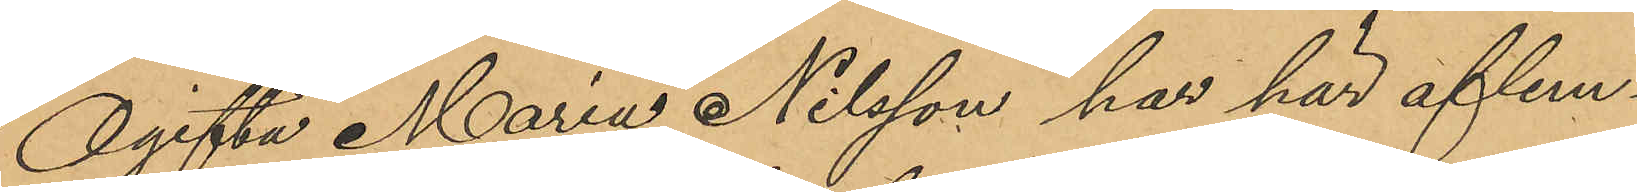Ogifta Maria Nilsson har här aflem¬
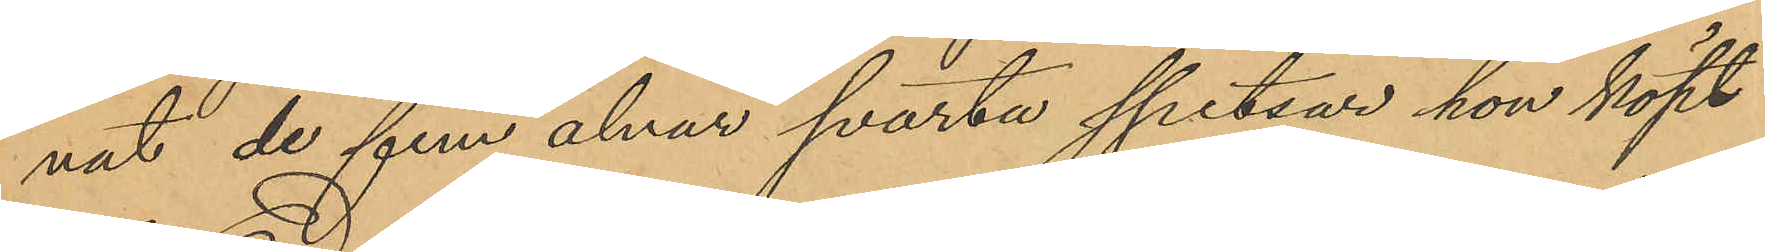nat de fem alnar svarta spetsar hon köpt
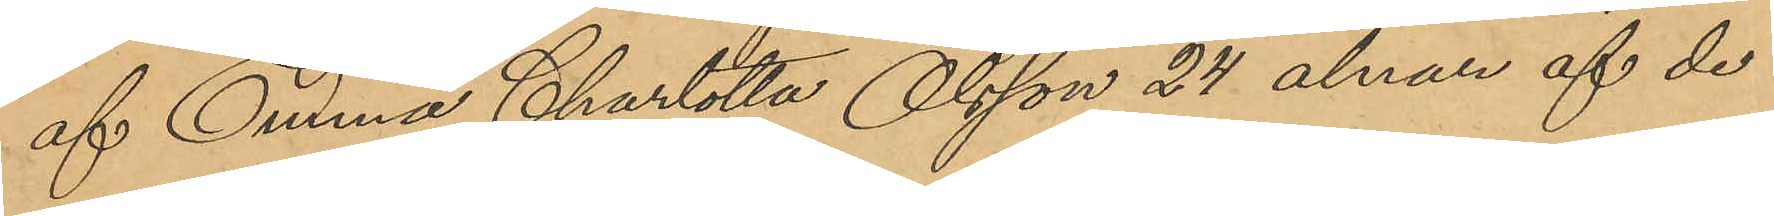af Emma Charlotta Olsson 24 alnar af de
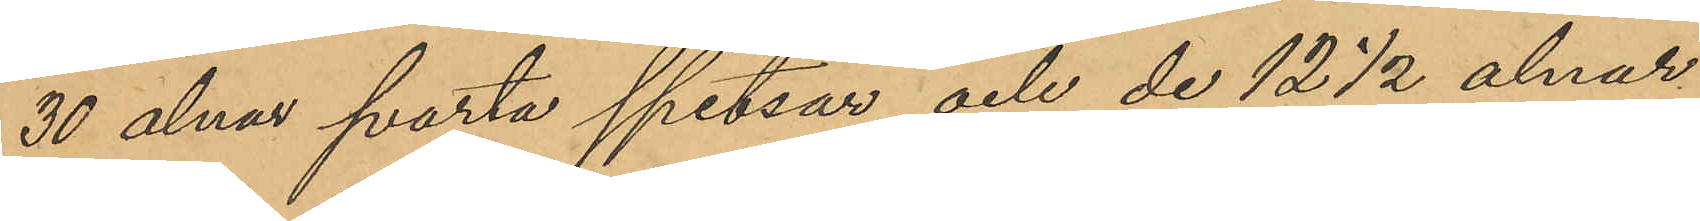30 alnar svarta spetsar och de 12 ½ alnar
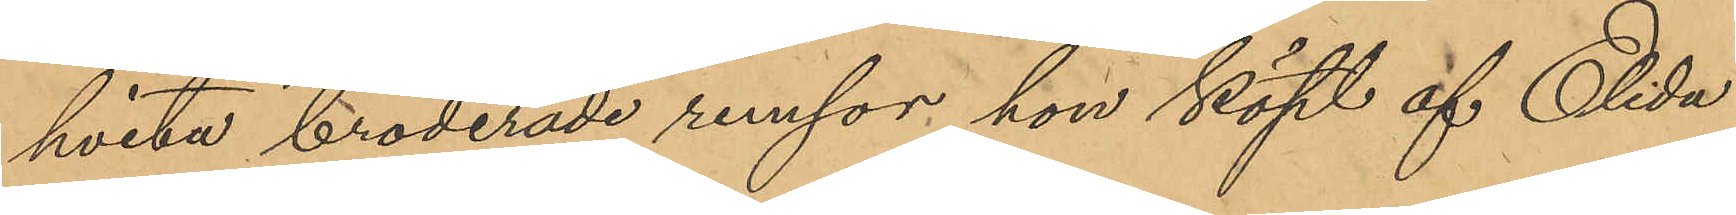hvita broderade remsor hon köpt af Elida
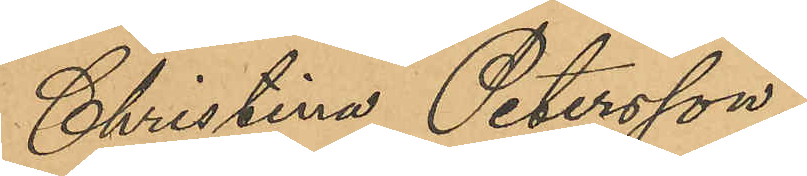Christina Petersson,
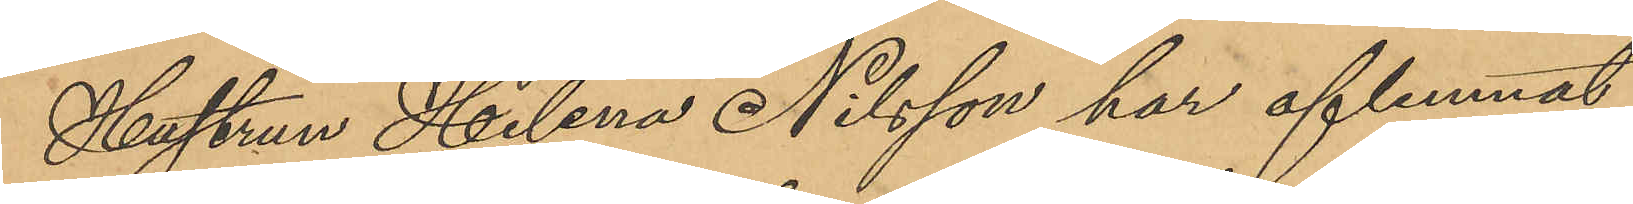Hustrun Helena Nilsson har aflemnat
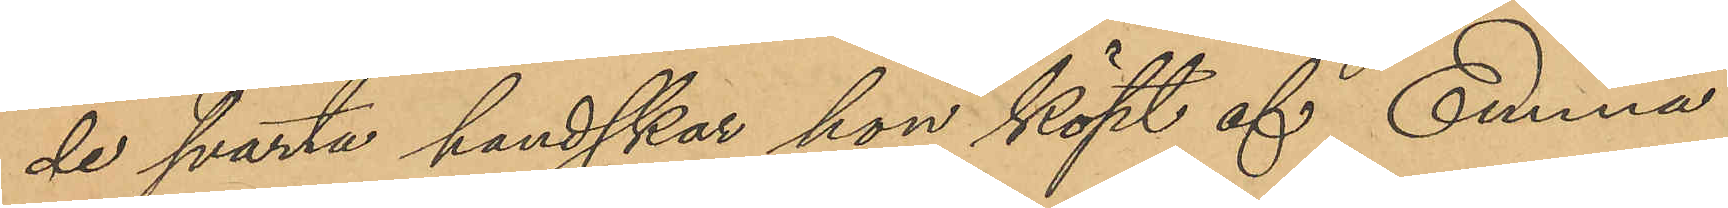de svarta handskar hon köpt af Emma
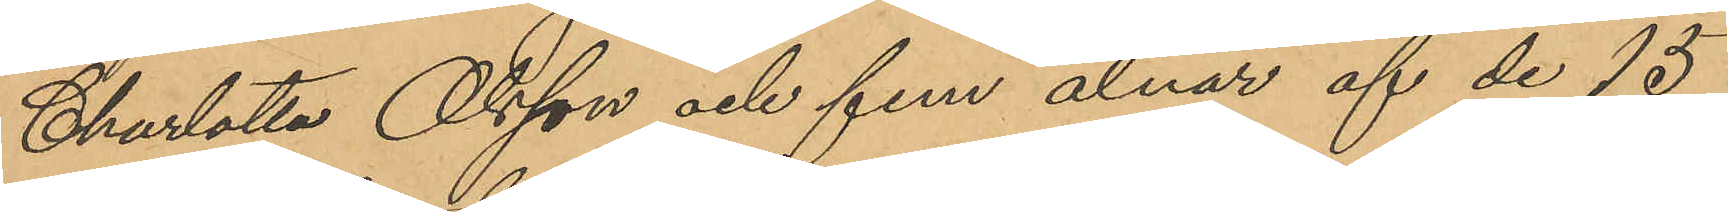Charlotta Olsson och fem alnar af de 15
